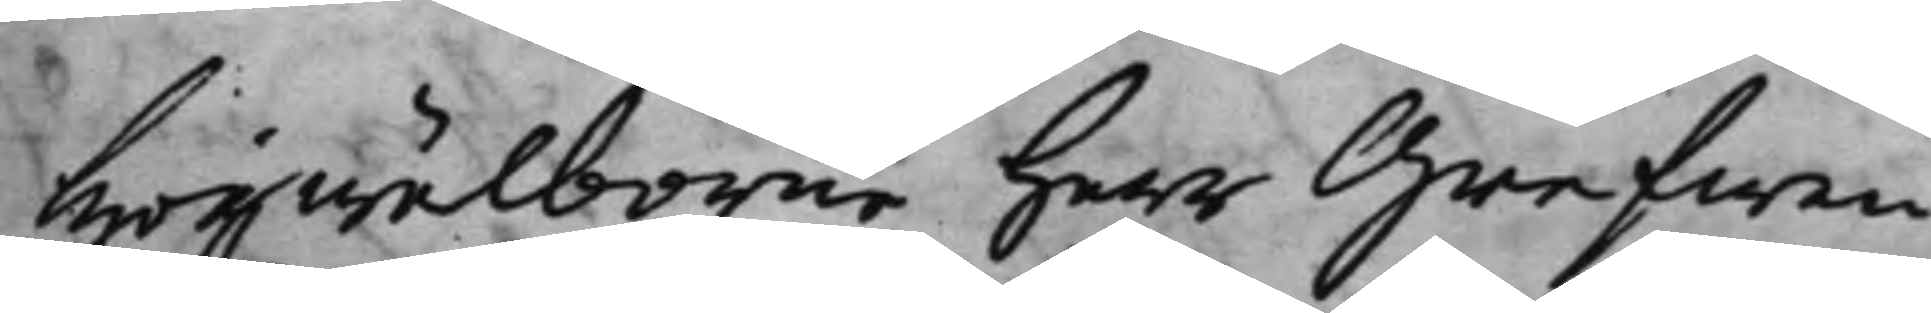Högwälborne Herr Grefwen
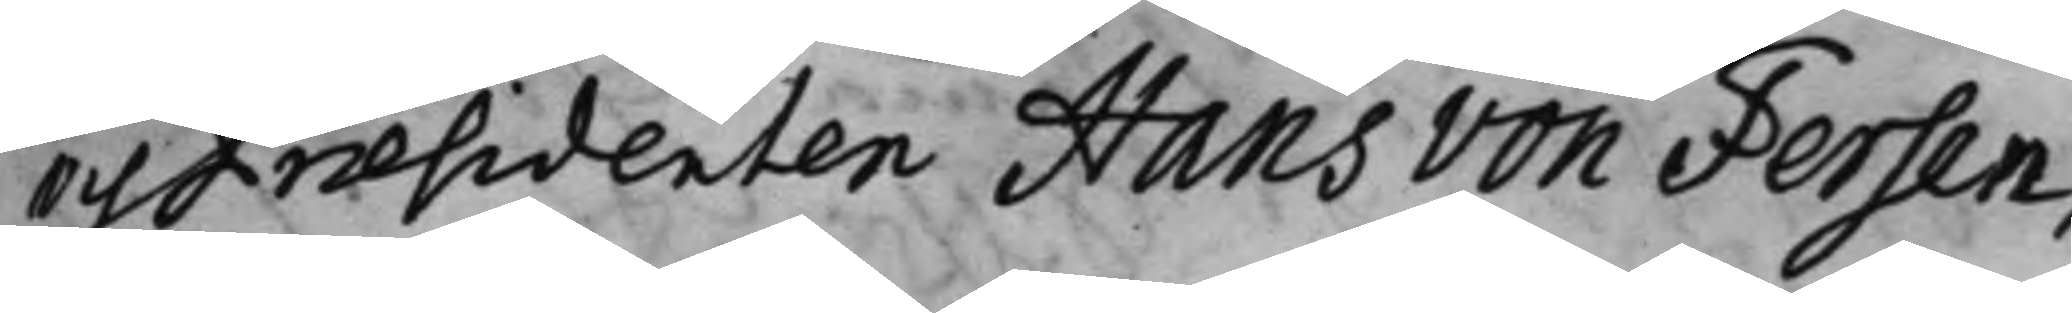och Præsidenten Hans von Fersen,
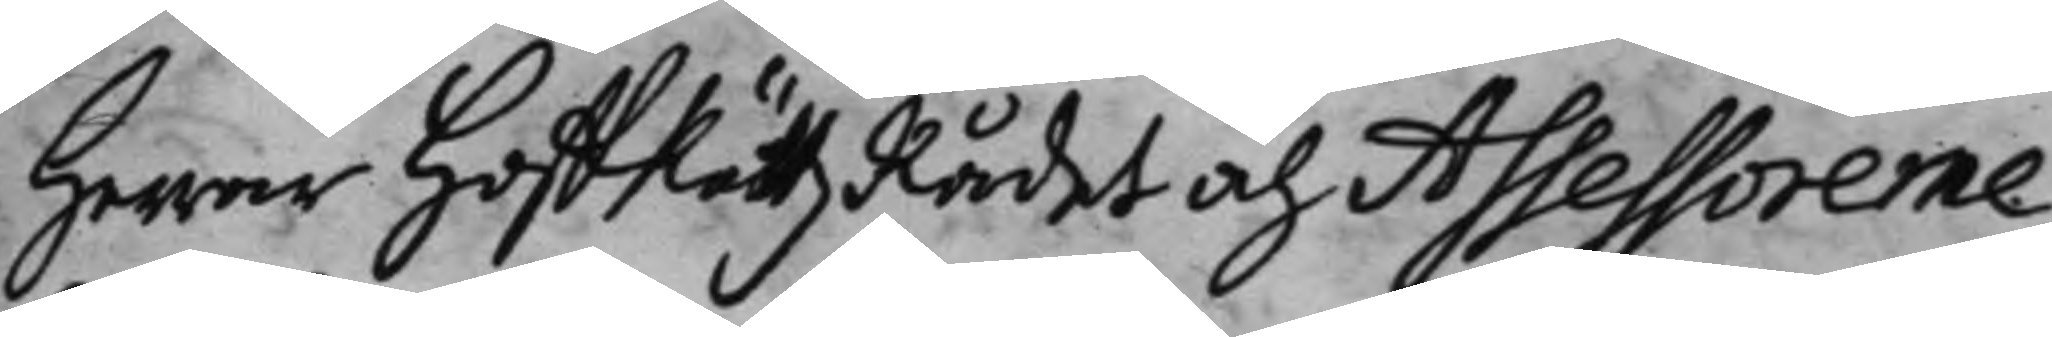Herrar HoffRättzRådet och Assessorerne:
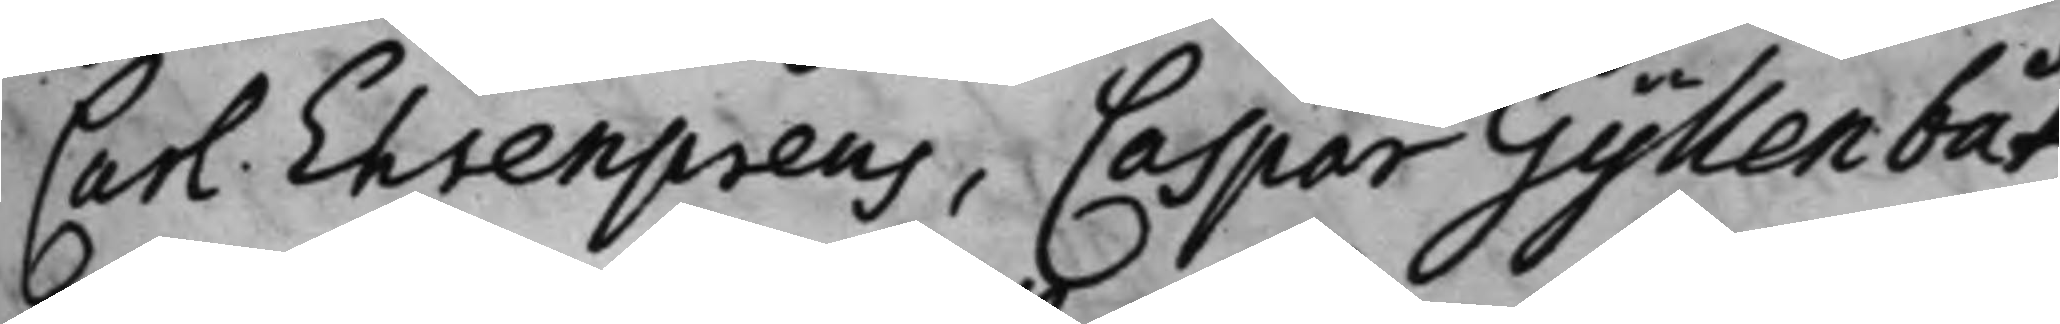Carl Ehrenpreus, Caspar Gyllenbåt,
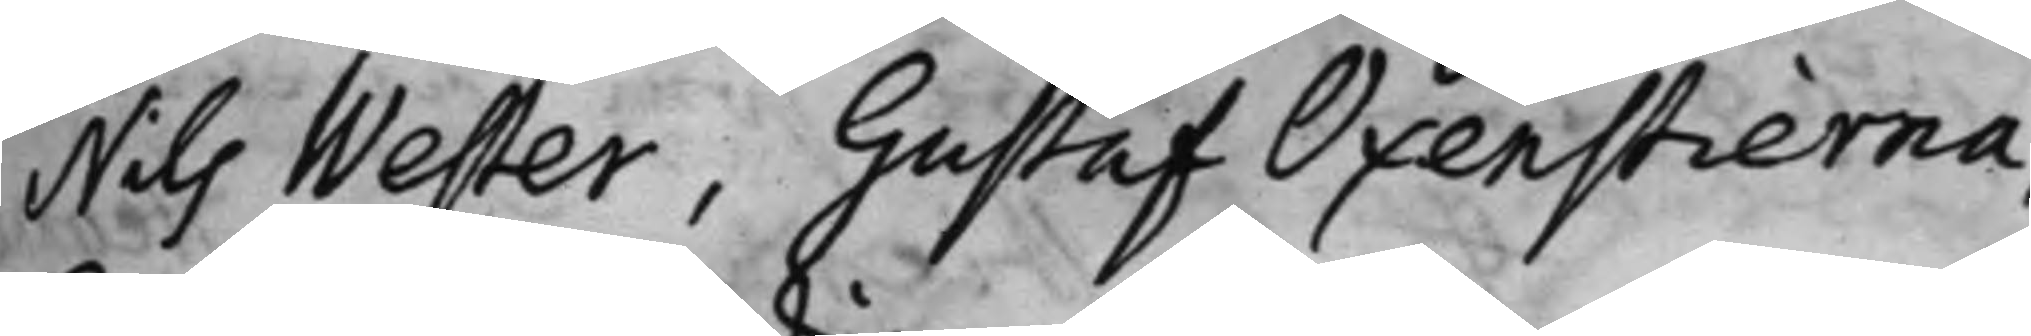Nils Wester, Gustaf Oxenstierna,
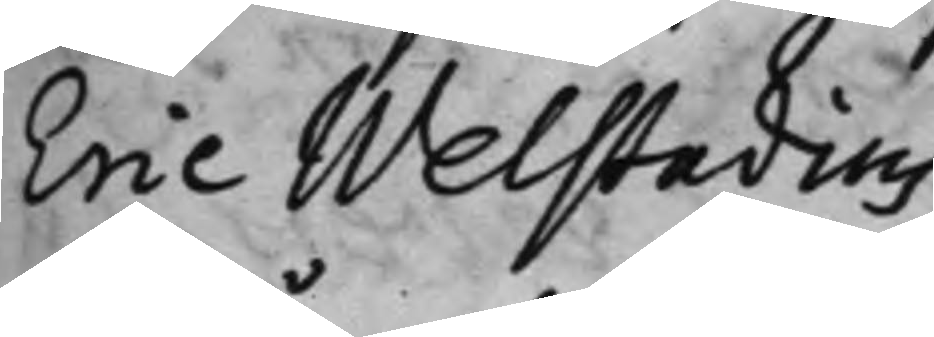Eric Welstadius.
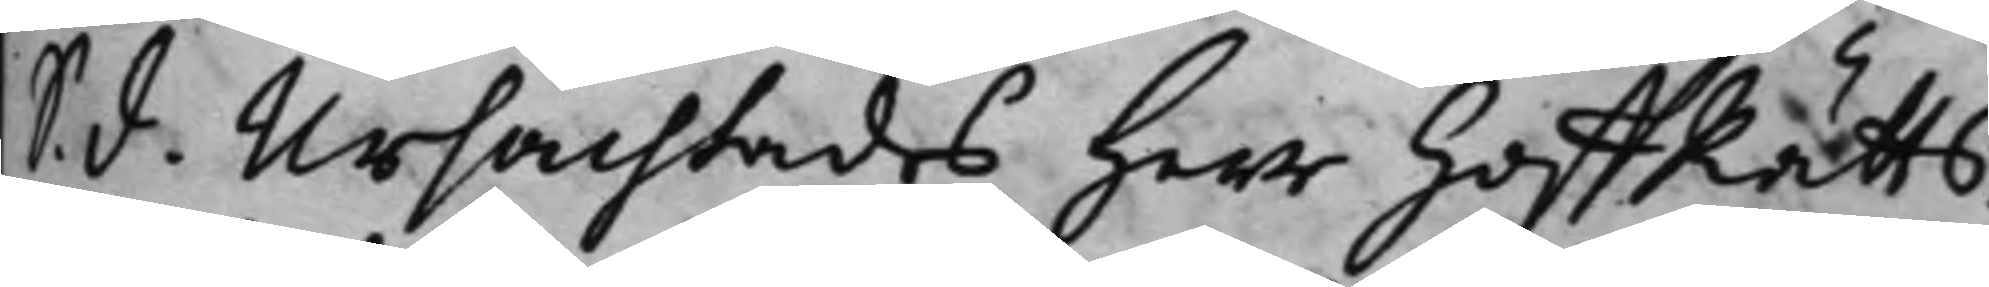S. d. Ursächtades Herr HoffRätts¬
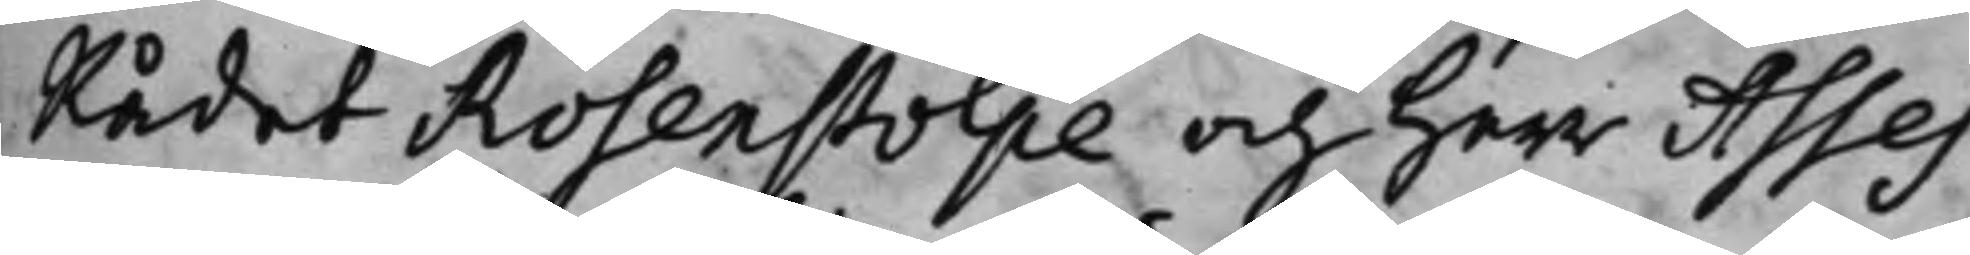Rådet Rosenstolpe och Herr Asses¬
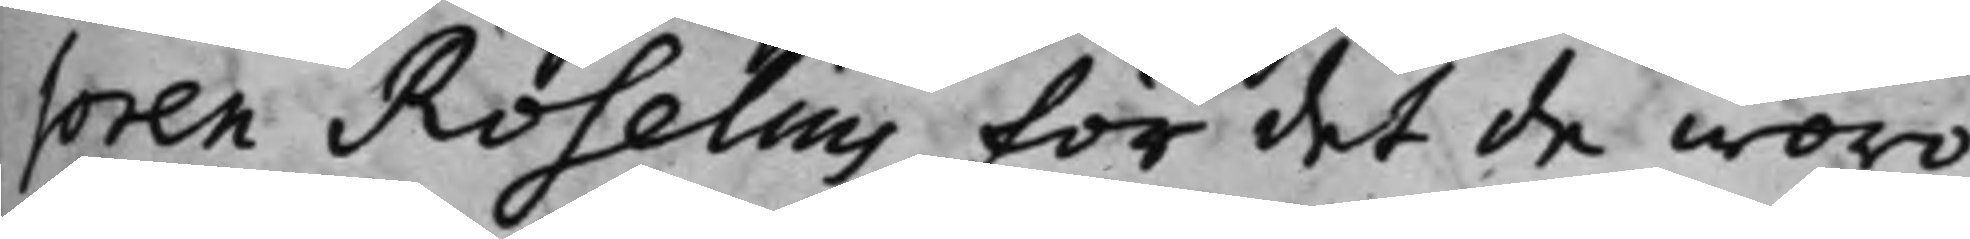soren Roselius för det de woro
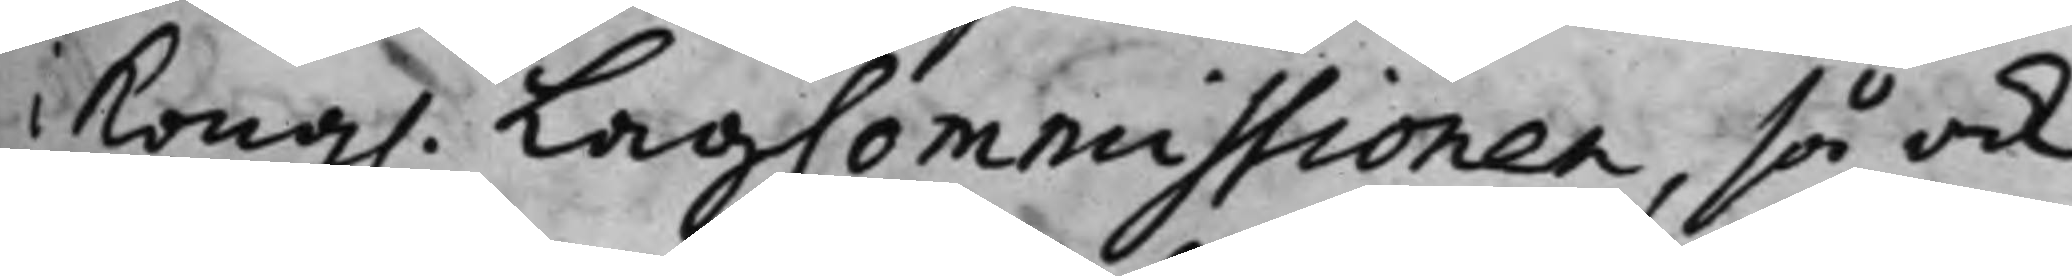Kong. LagCommissionen, så ock
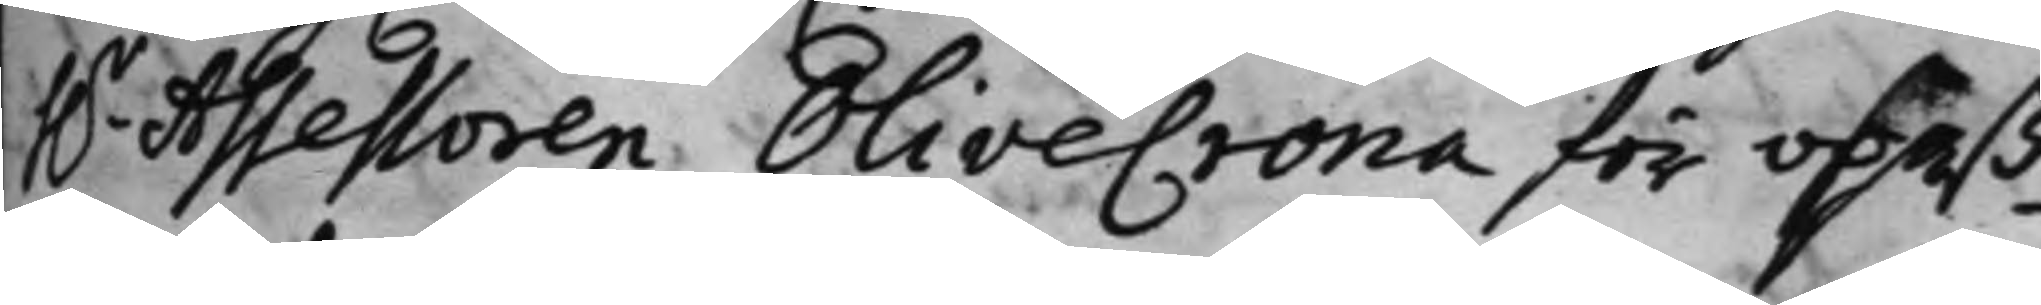h.r Assessoren Olivecrona för opaß¬
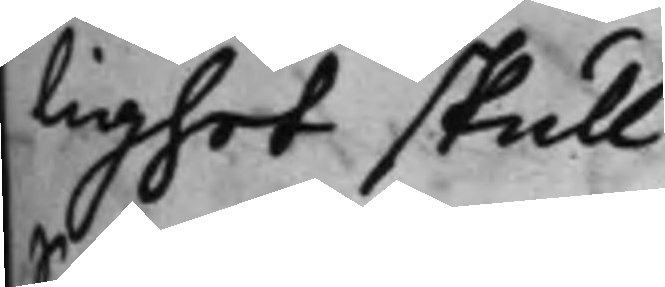lighet skull.
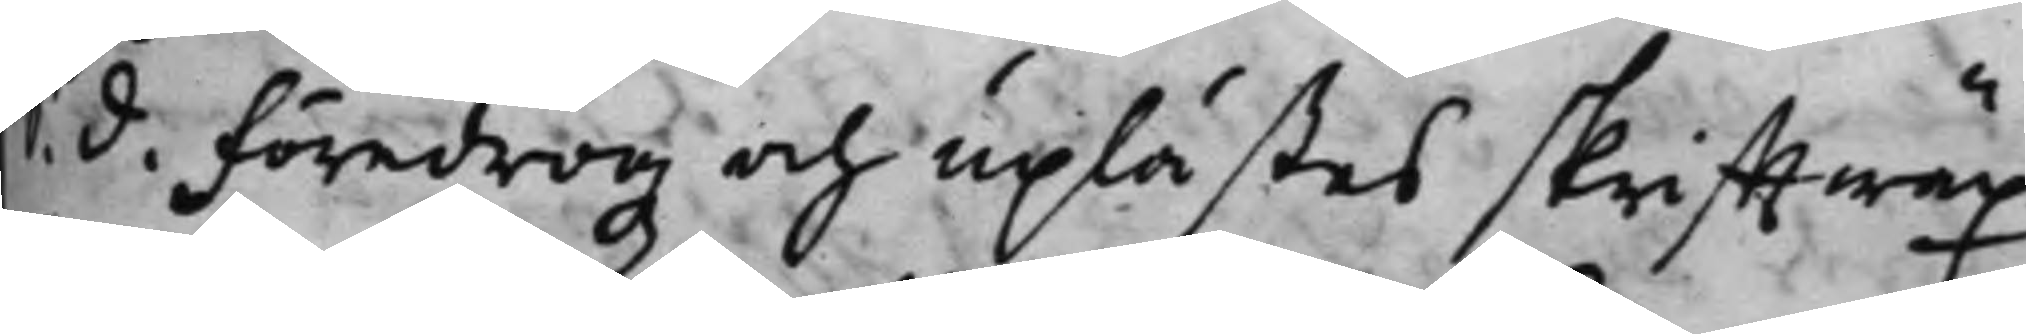S. d. Föredrogz och uplästes skrifftwäx¬
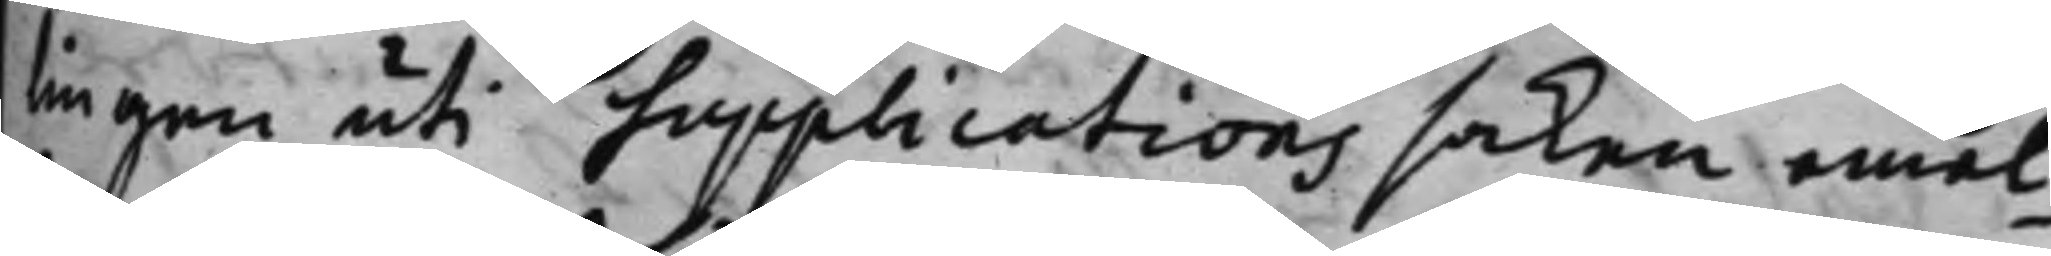ingen uti supplications saken emel¬
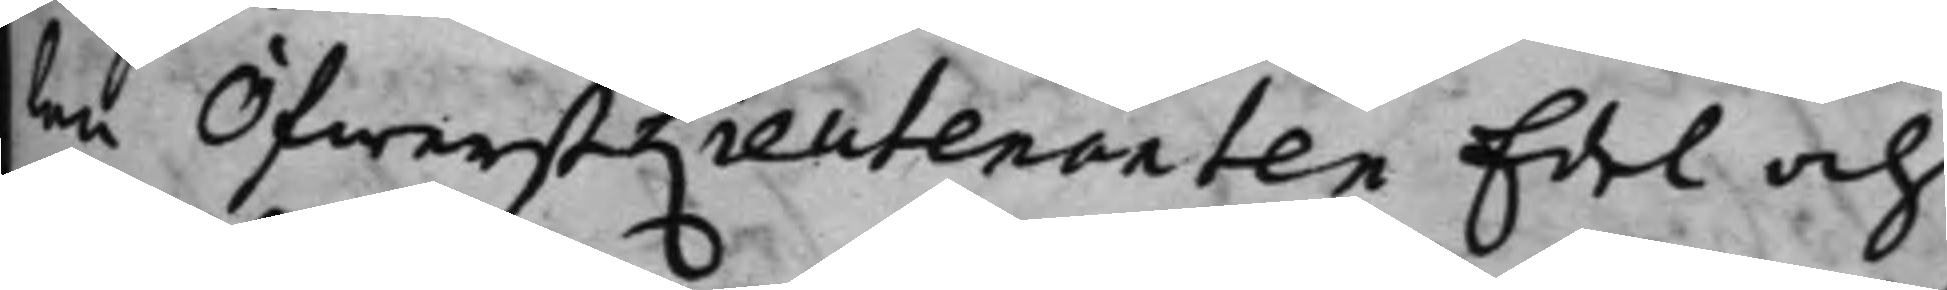ten ÖfwerstLieutenanten Edel och
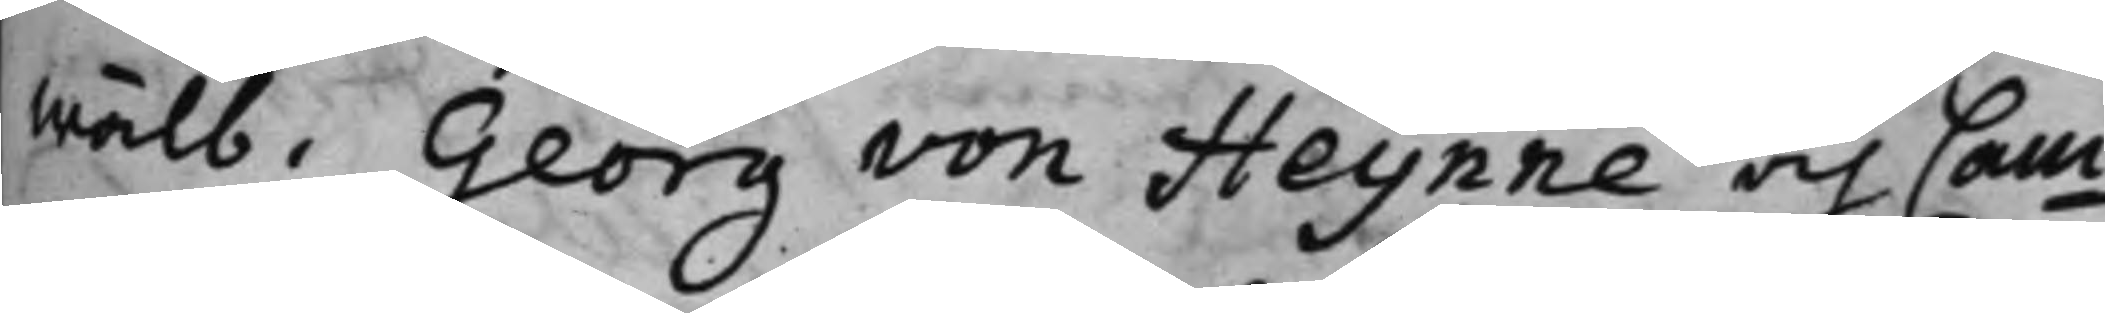Wälb. Georg von Heijnne och Cam¬
